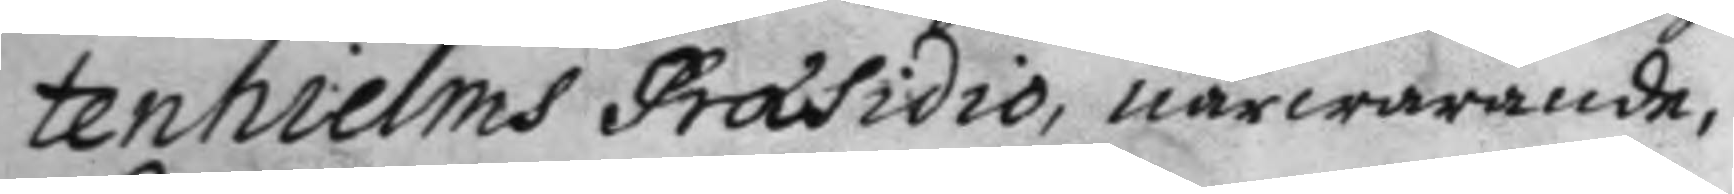tenhielms Præsidio, närwarande,
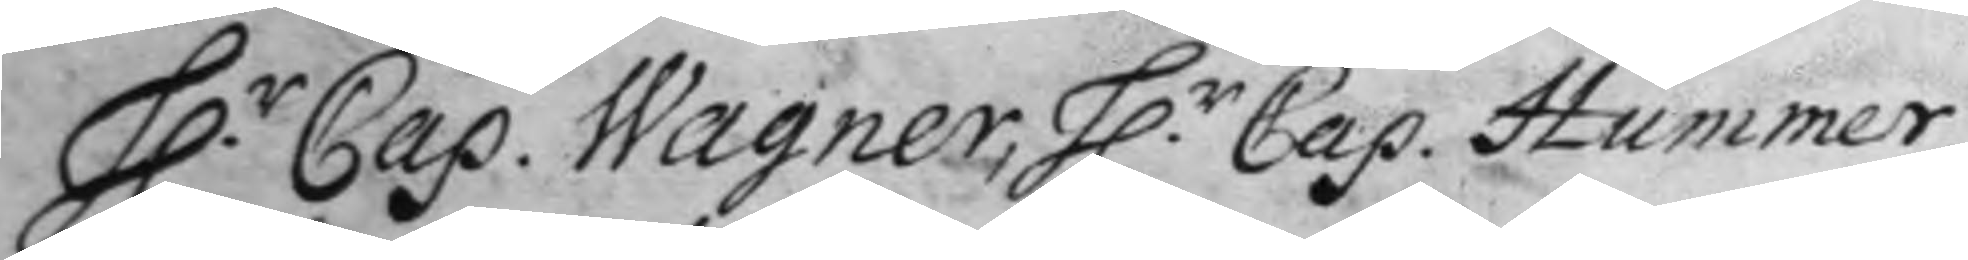H.r Cap. Wagner, H.r Cap. Hummer,
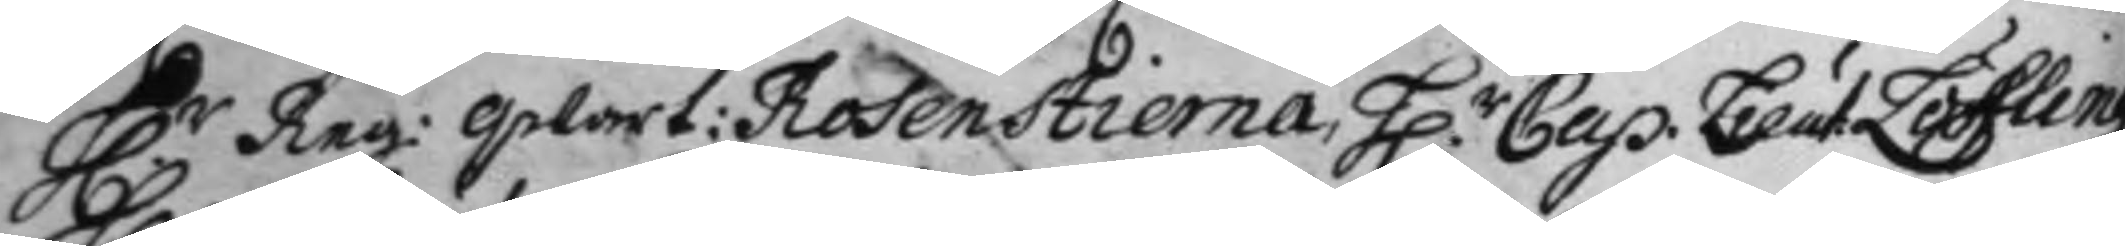H.r Reg.qwart: Rosenstierna, H.r Cap. Leut Löfling
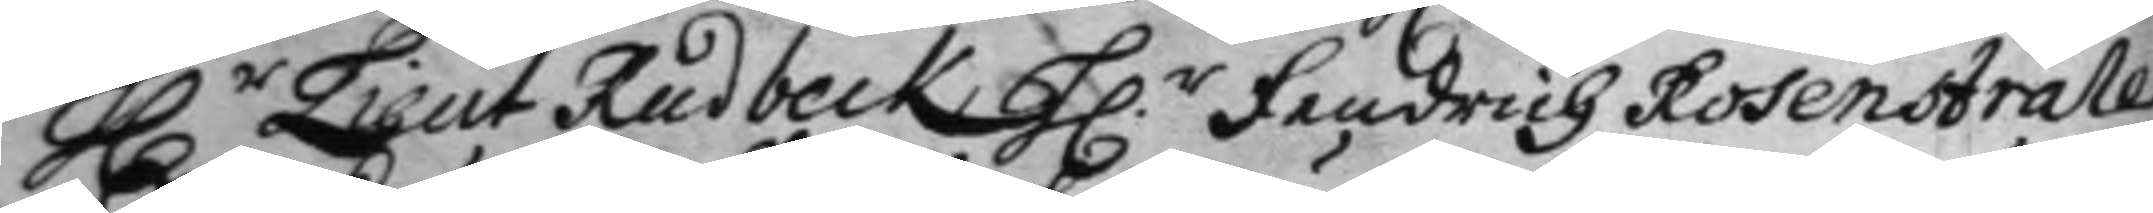H.r Lieut Rudbeck, H.r Fendrich Rosenstråle
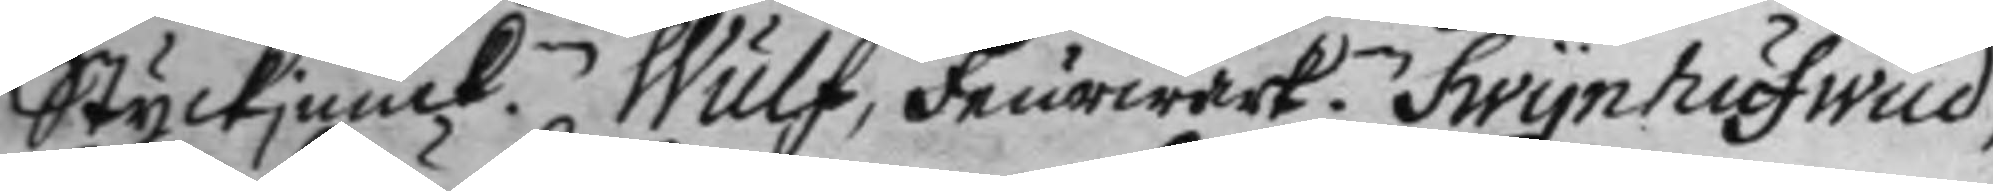Styckjunck.n Wulf, Feurwärk.n Swynhufwud,
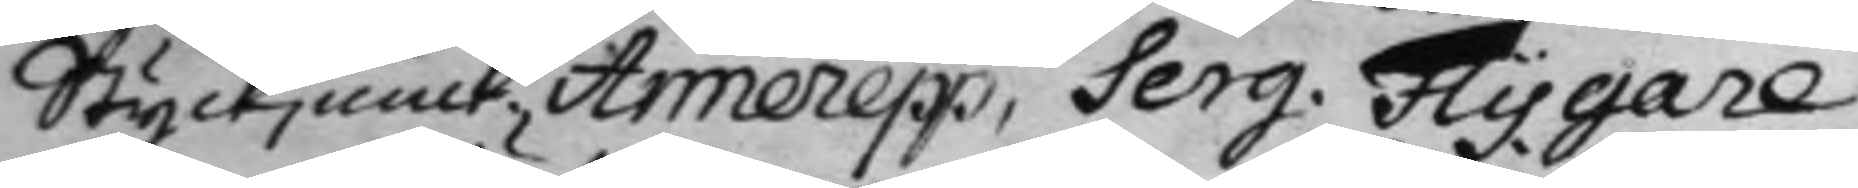Styckjunck. Arnerepp, Serg. Flygare
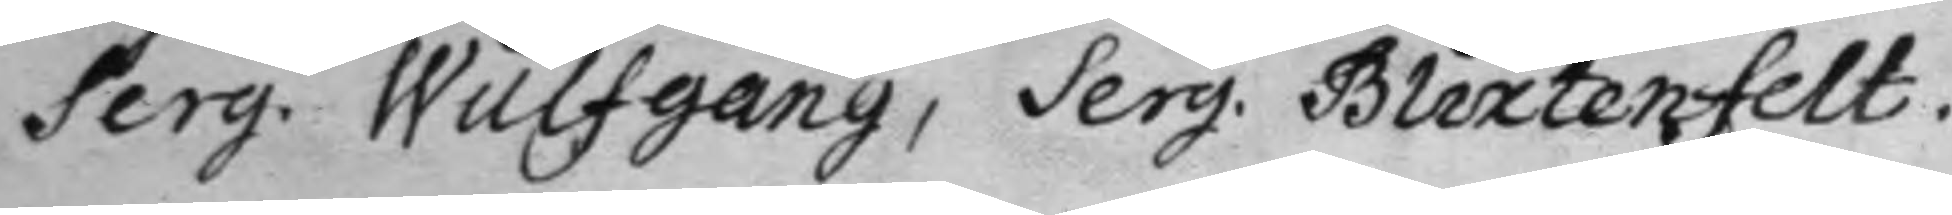Serg. Wulfgang, Serg. Blixtenfelt
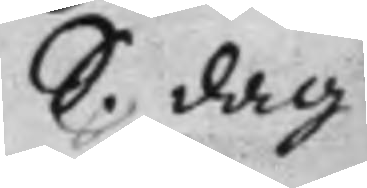S. dag
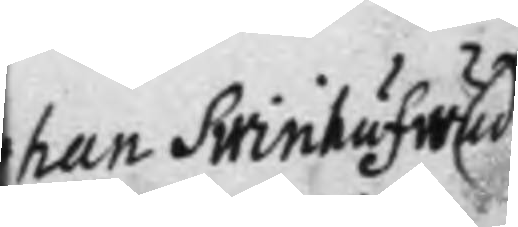Johan Swinhufwud
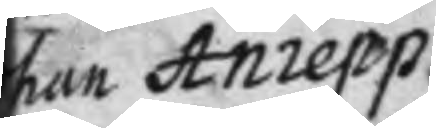Johan Anrepp
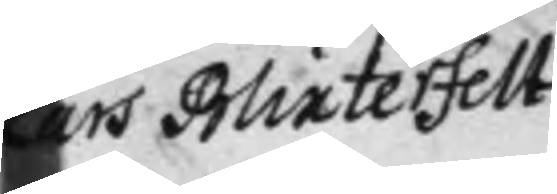Lars Blixterfelt
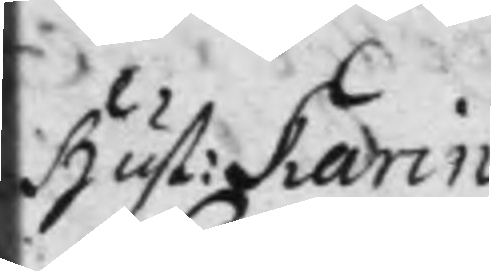hust: Karin
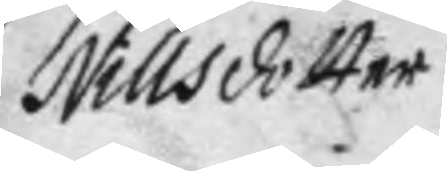Nillsdotter
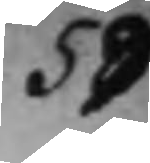59
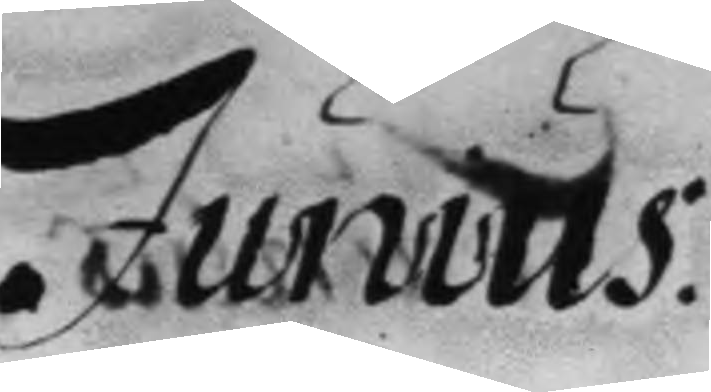Junius
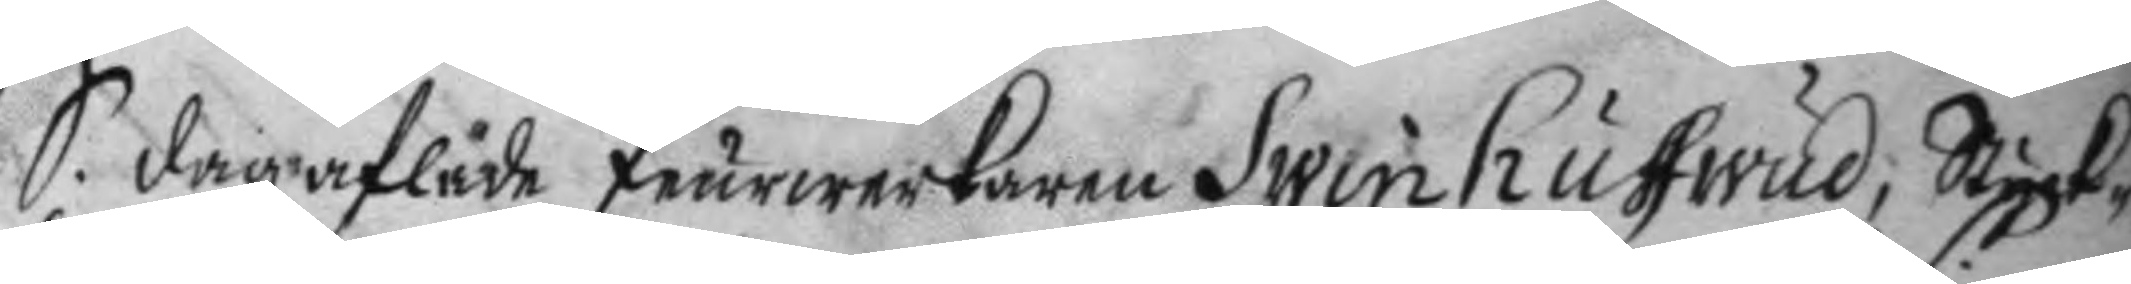S. dag aflade feurwerkaren Swinhufwud, Styck¬
